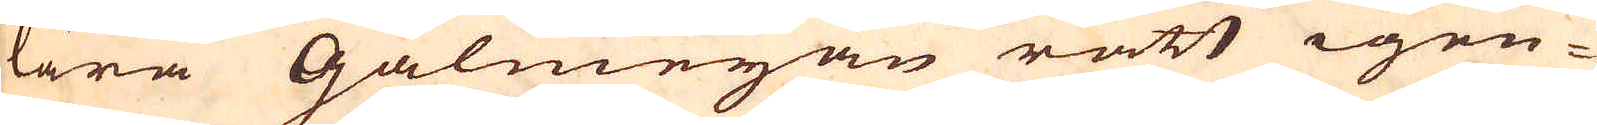lära Galmejan rätt igen-
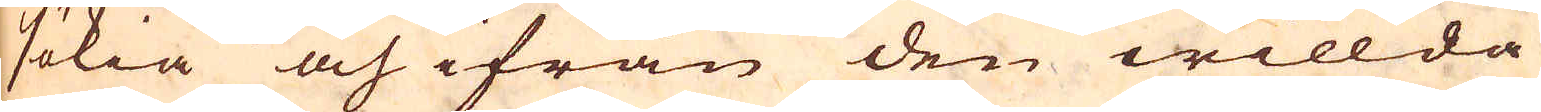sökia och ifrån den willda
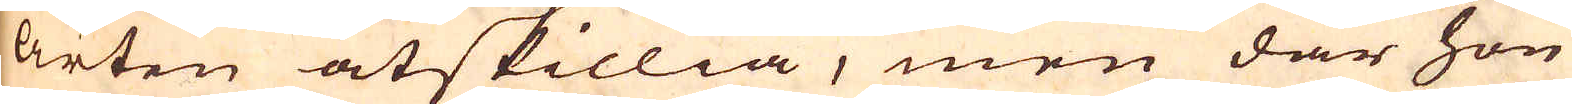arten åtskillia, men där hon
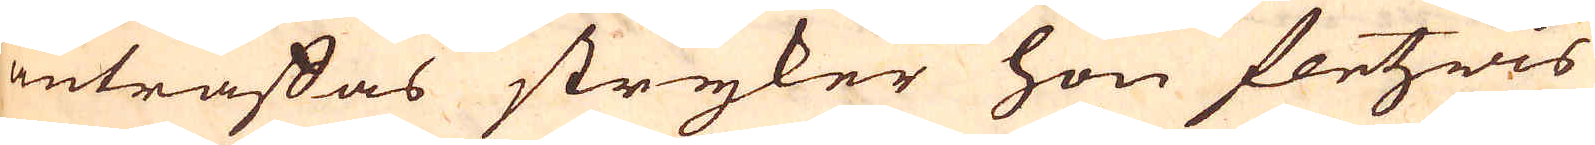anträffas stryker hon fletzwis
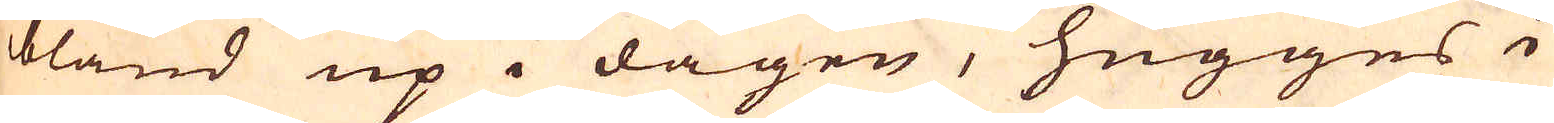bland up i dagen, hugges i
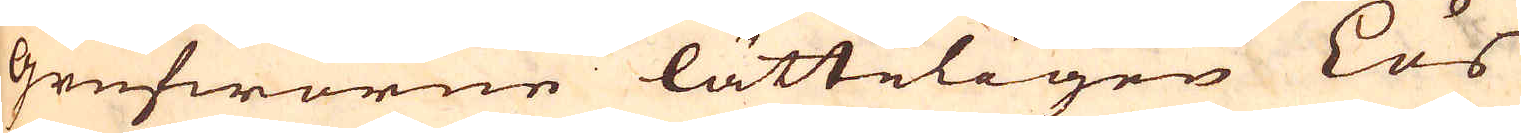grufworne lätteligen Lös
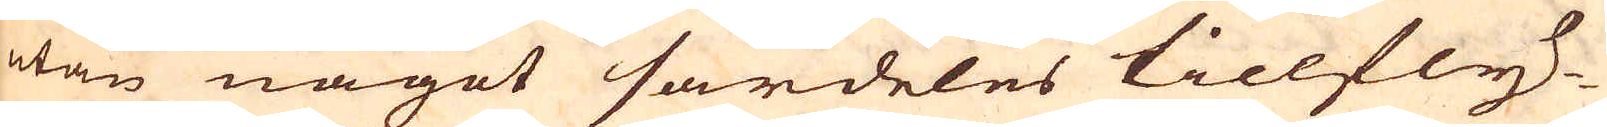utan något särdeles tillfly-
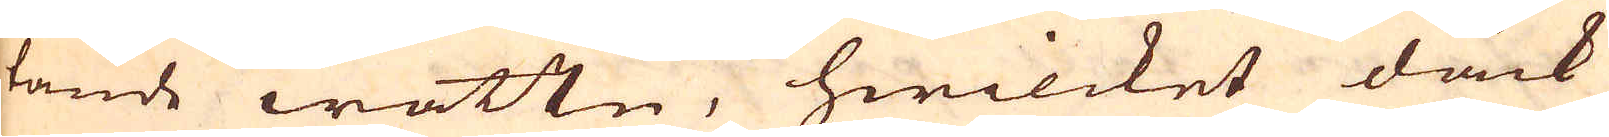tande wattn, hwilcket dock
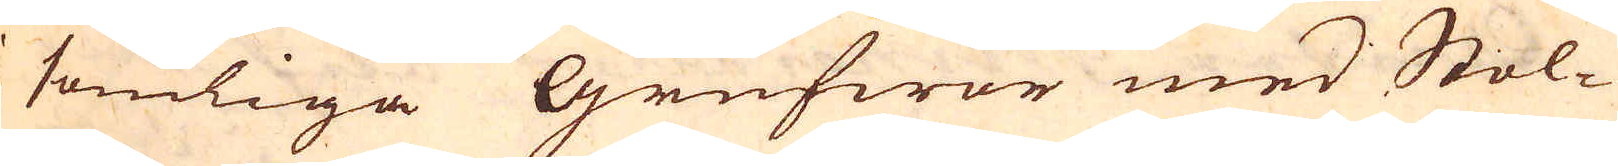somliga Grufwor med Stol-
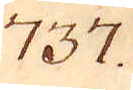737.
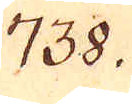738.
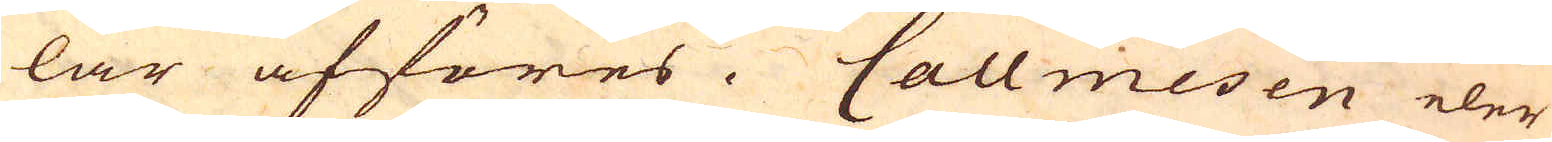lar afföres. Callmesen eler
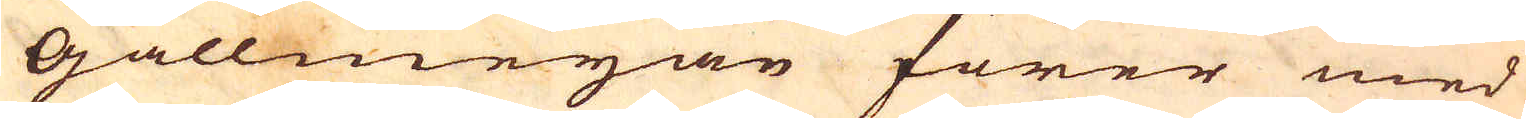Gallmejan förer med
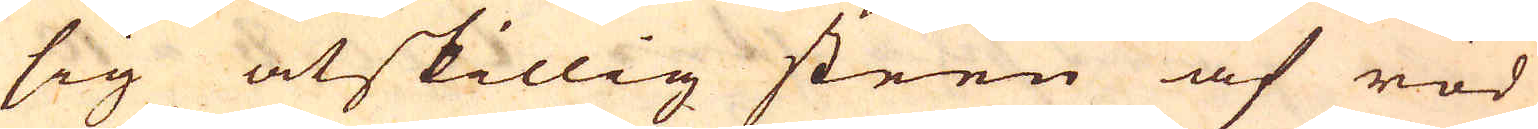sig åtskillig steen af röd
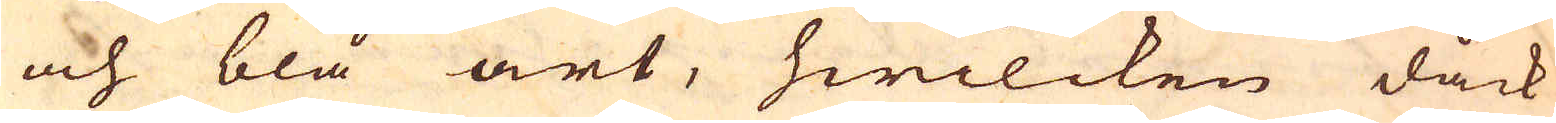och blå art, hwilcken dåck
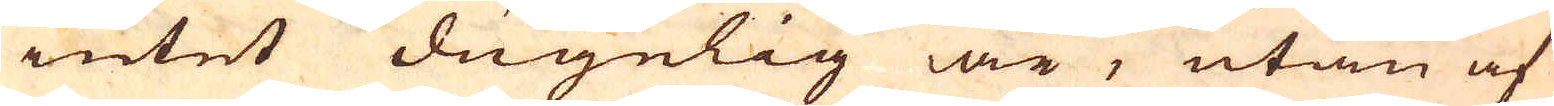intet dugelig är, utan af
